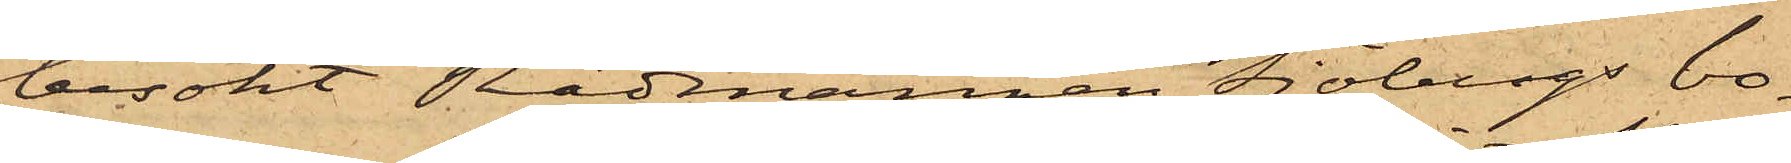besökt Rådsmannen Sjöbergs bo¬
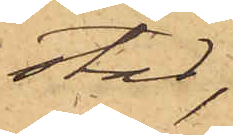stad,
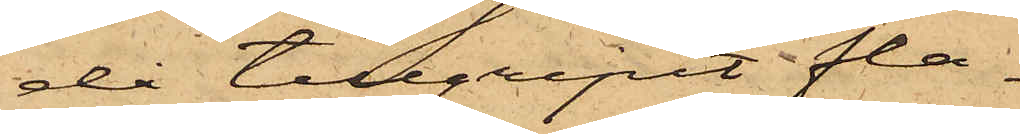då tillgripit fla¬
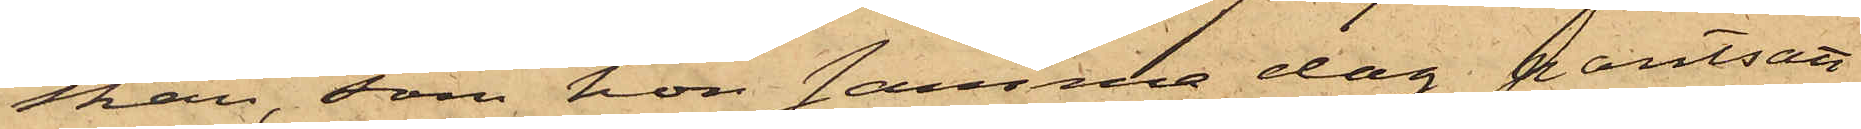skan, som hon samma dag pantsatt
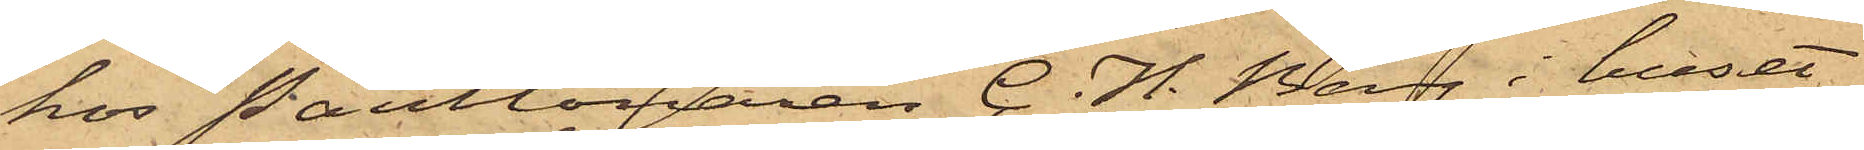hos Pantlånaren C. H. Berg i huset
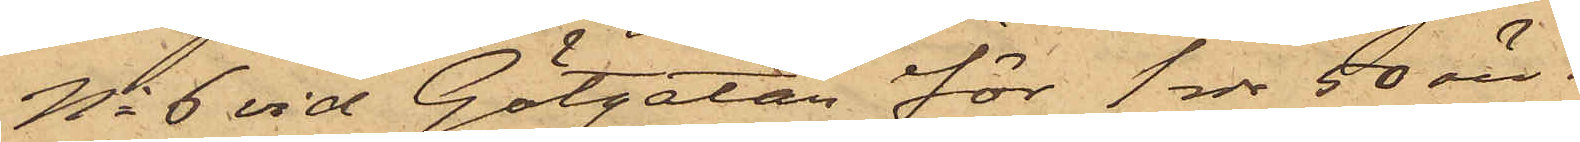No 6 vid Götgatan för 1 rdr 50 öre.
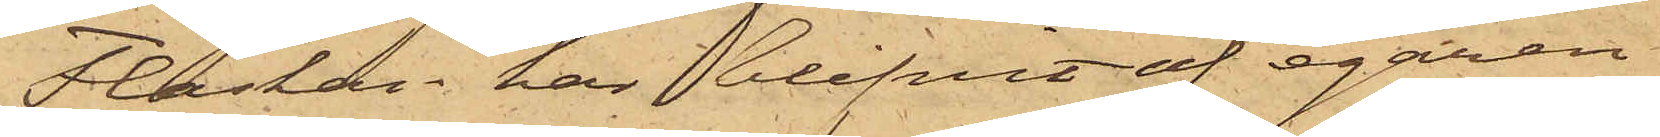Flaskan har blifvit af egaren
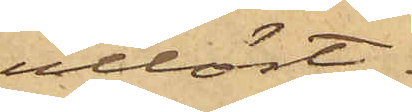utlöst.
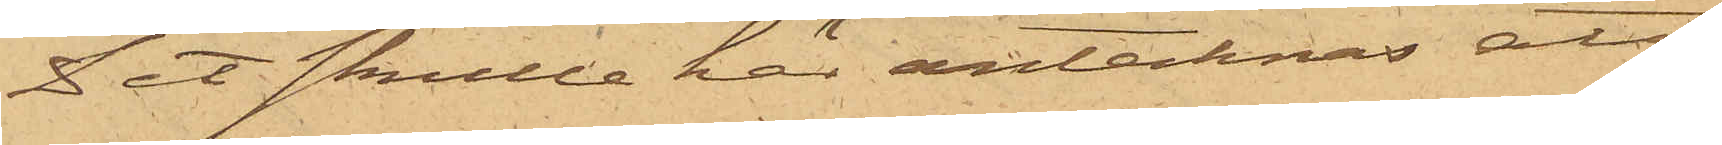Det skulle här antecknas att
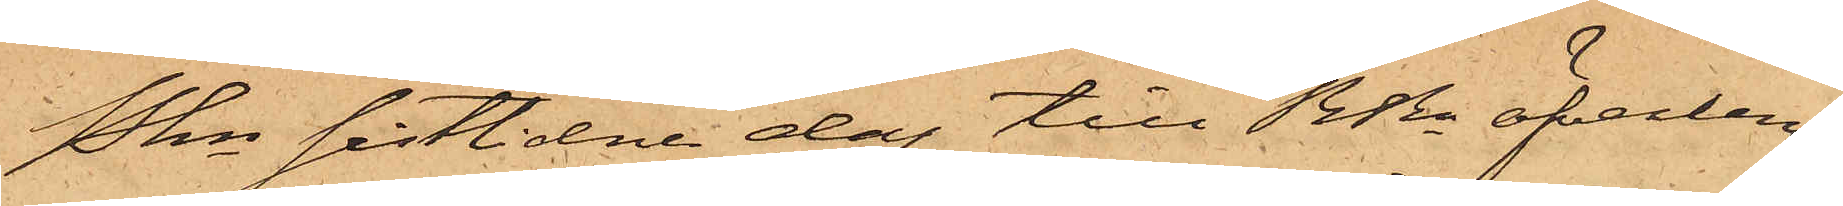Pkn sistlidne dag till RRn öfverlem¬
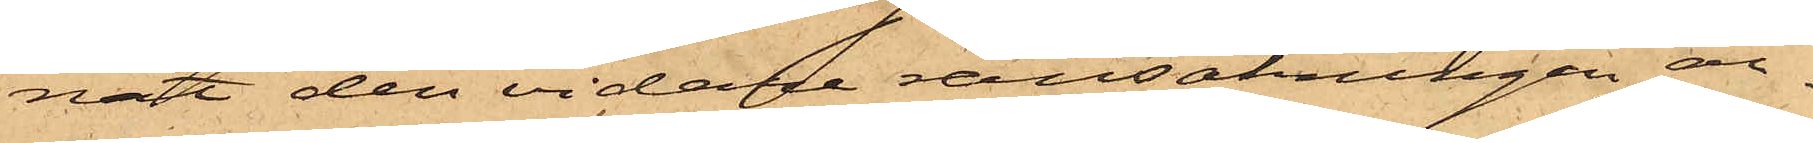nat den vidare ransakningen an¬
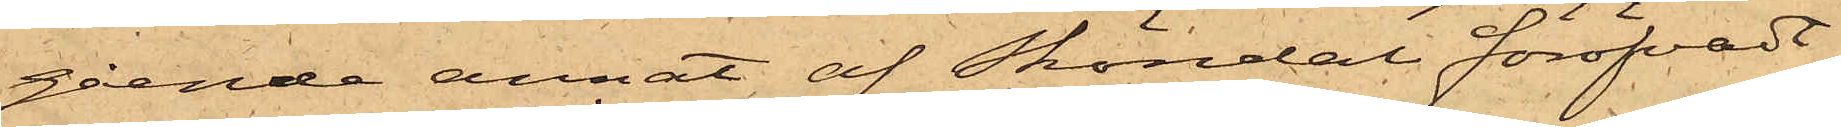gående annat af Sköndal föröfvadt
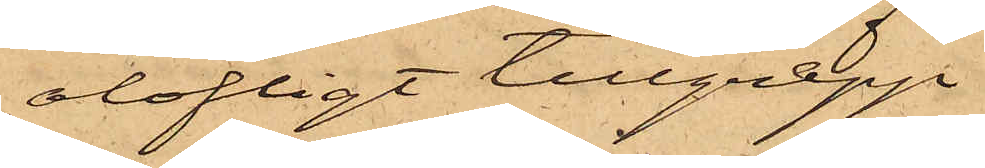olofligt tillgrepp.
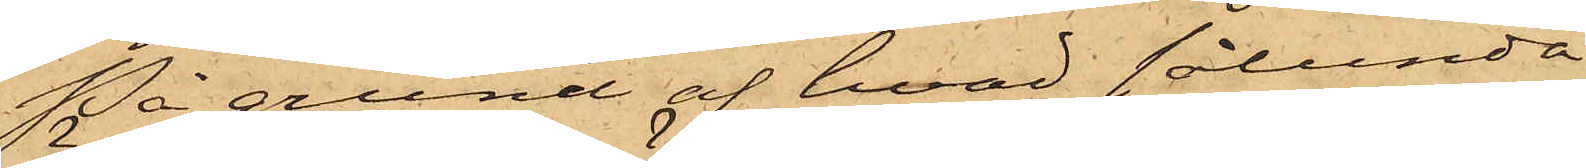På grund af hvad sålunda
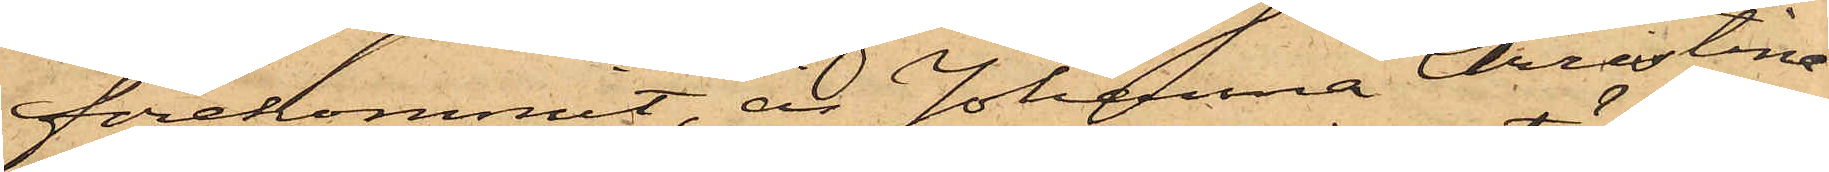förekommit, är Johanna Christina
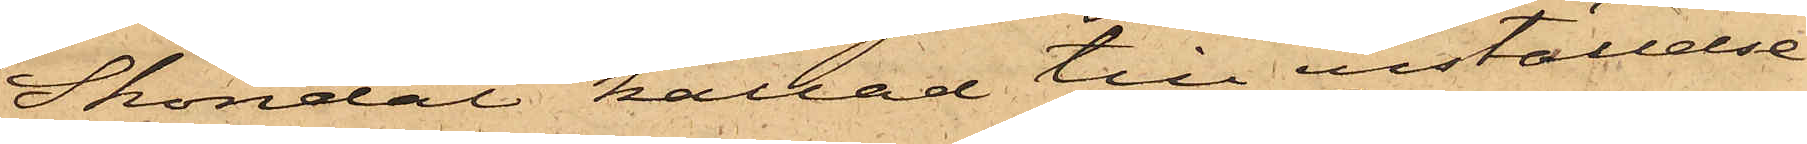Sköndal kallad till inställelse
